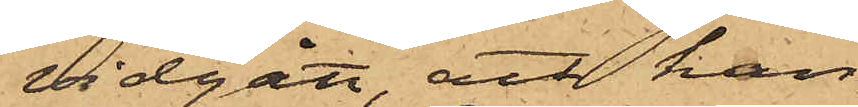vidgått, att han
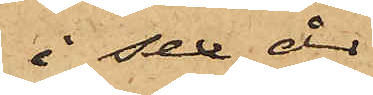i sex år
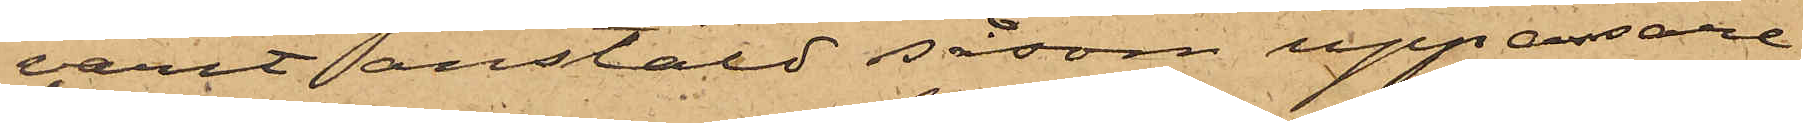varit anstäld såsom uppassare
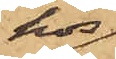hos
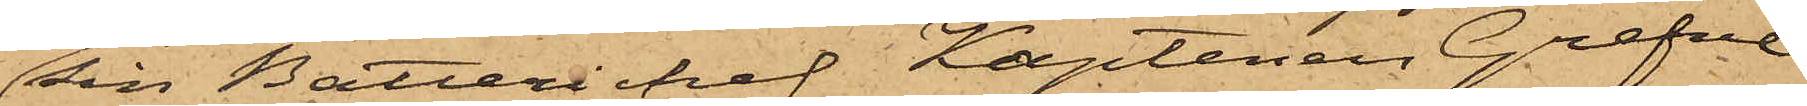sin Batterichef Kaptenen Grefve
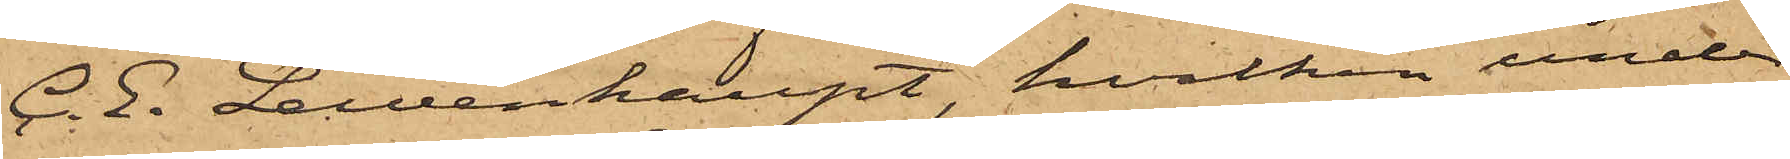C. E. Lewenhaupt, hvilken under
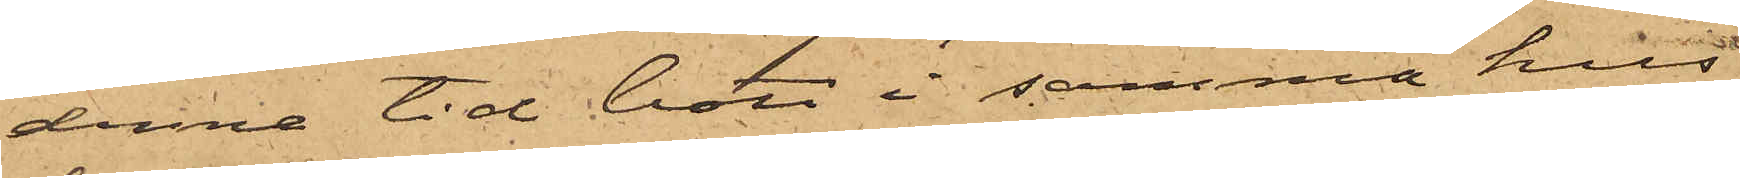denne tid bott i samma hus
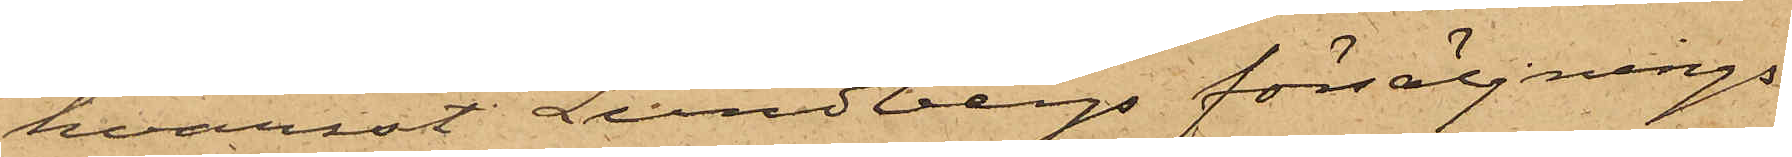hvarest Lundbergs försäljnings¬
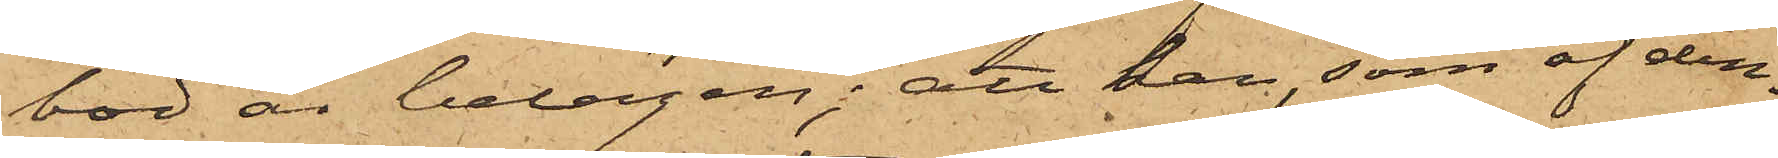bod är belägen; att han, som af den¬
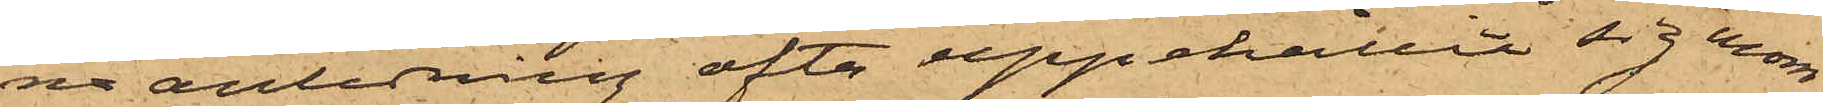na anledning ofta uppehållit sig inom
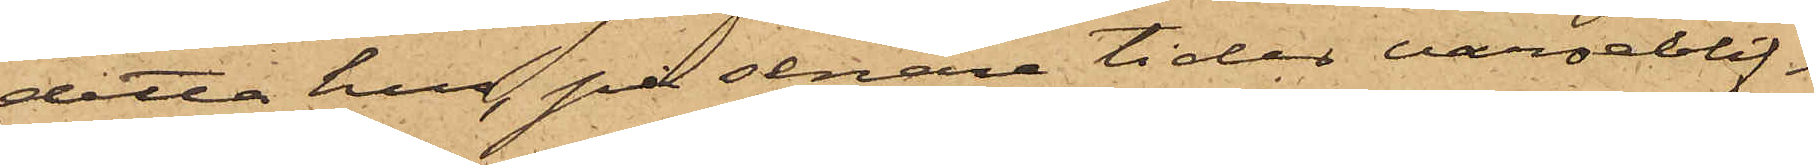detta hus, på senare tider varseblif¬
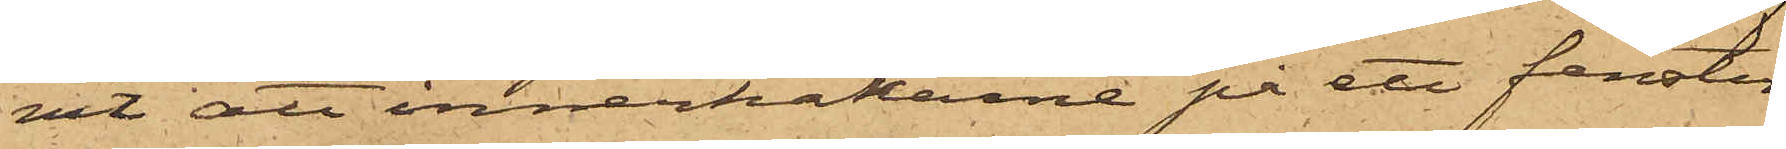vit att innerhakarne på ett fenster
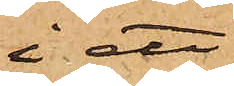i ett
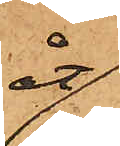åt
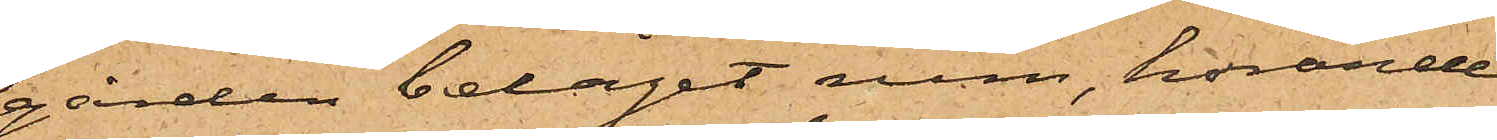gården beläget rum, hörande
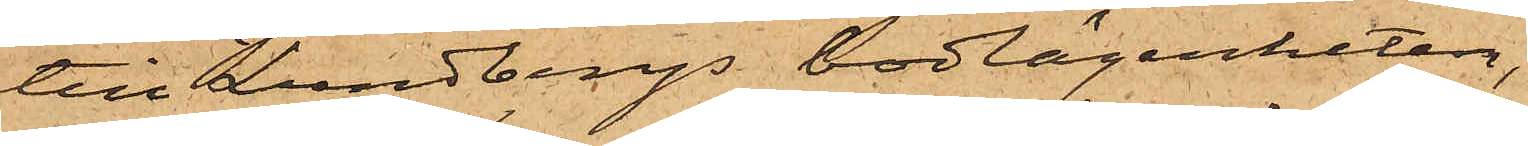till Lundbergs bodlägenheten,
